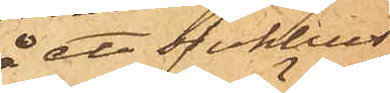å ett sjukhus
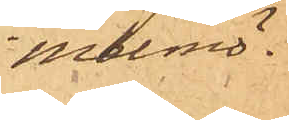i Malmö;
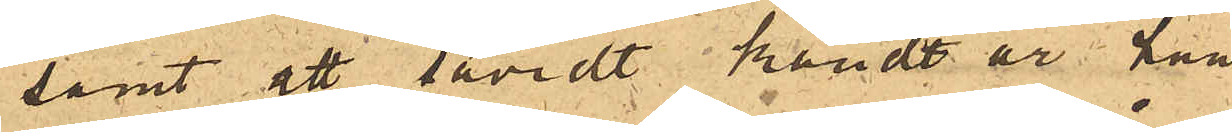samt att såvidt kändt är han
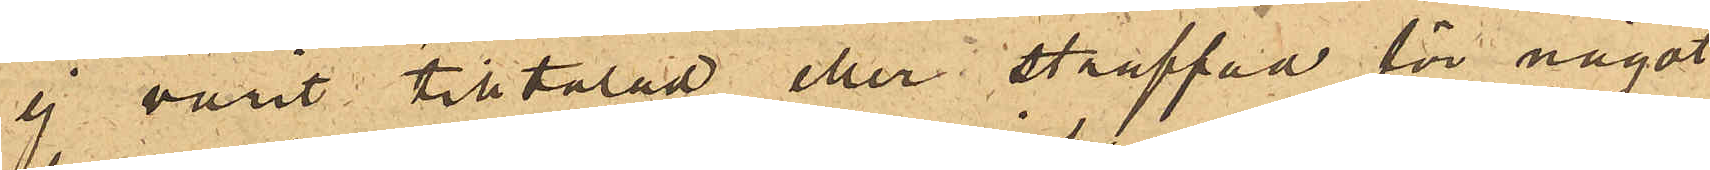ej varit tilltalad eller straffad för något
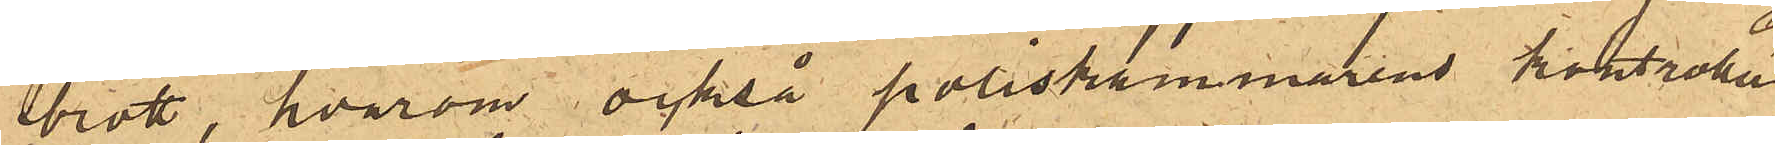brott, hvarom också poliskammarens kontroller
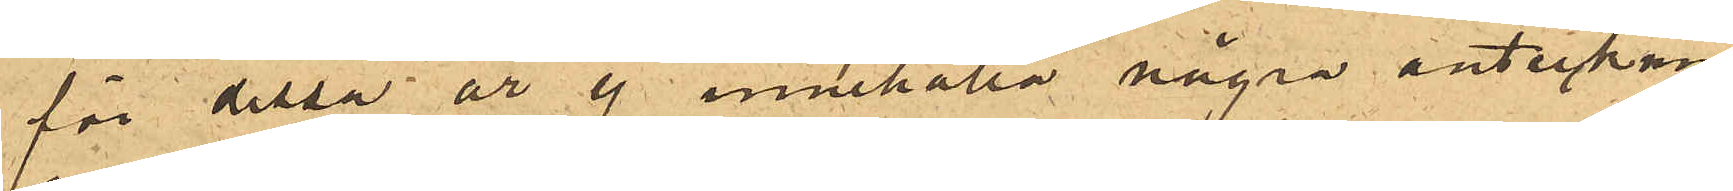för dessa år ej innehålla några antecknin¬
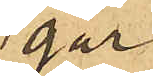gar.
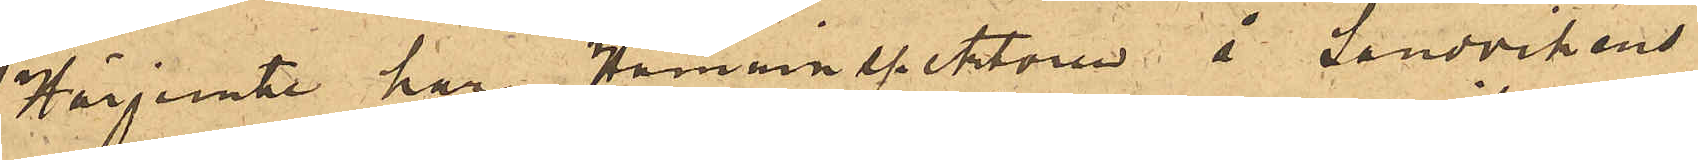Härjemte har Hamninspektoren å Sandvikens
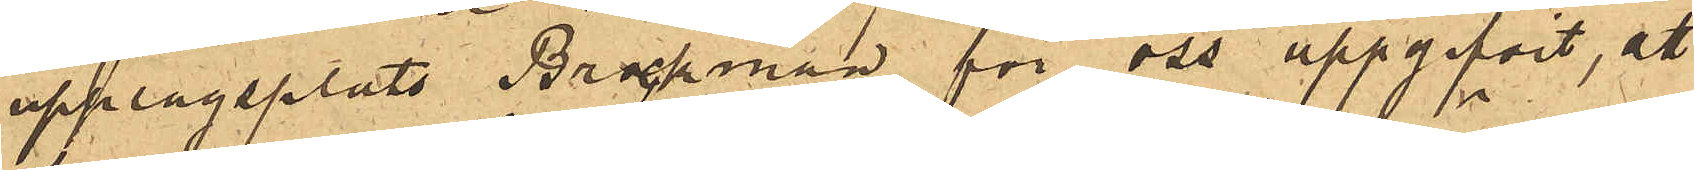upplagsplats Brockman för oss uppgifvit, att
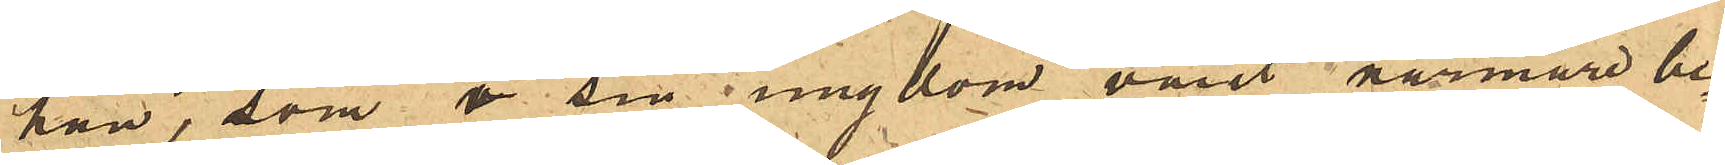han, som i sin ungdom varit närmare be¬
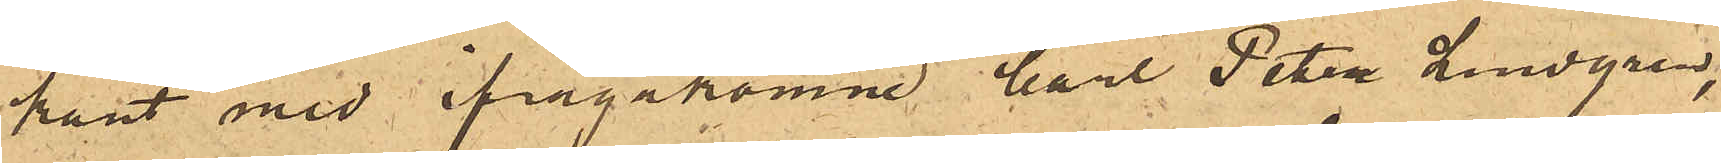kant med ifrågakomne Carl Peter Lundgren,
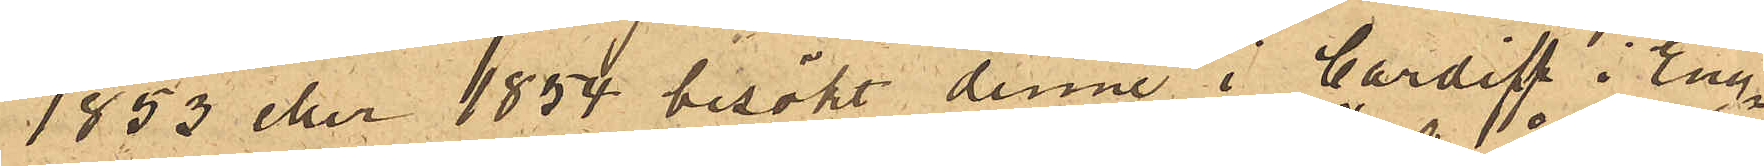1853 eller 1854 besökt denne i Cardiff i Eng¬
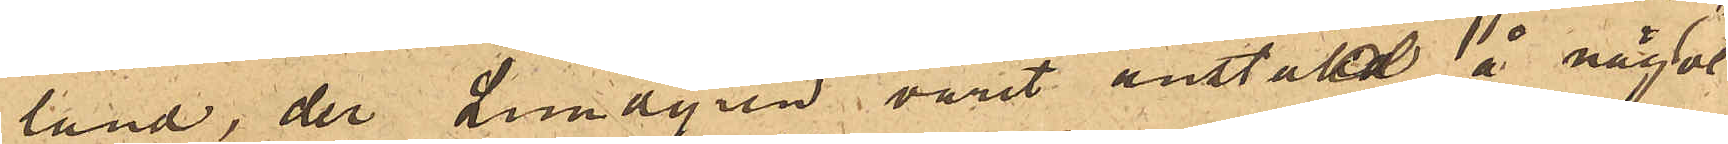land, der Lundgren varit anstäld å något
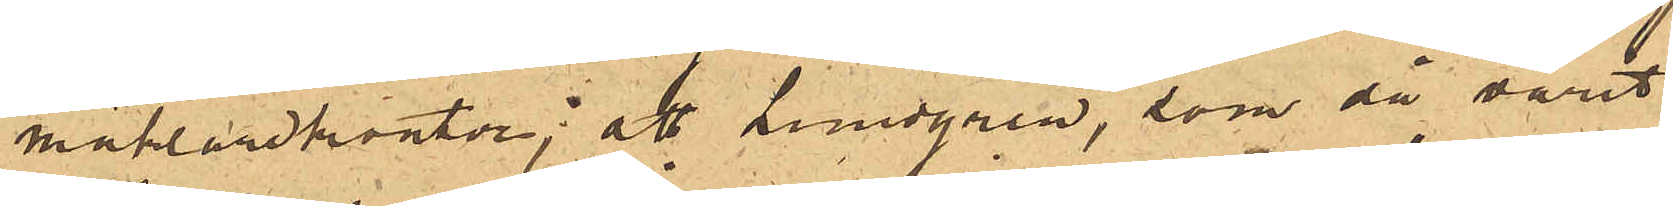mäklarekontor; att Lundgren, som då varit
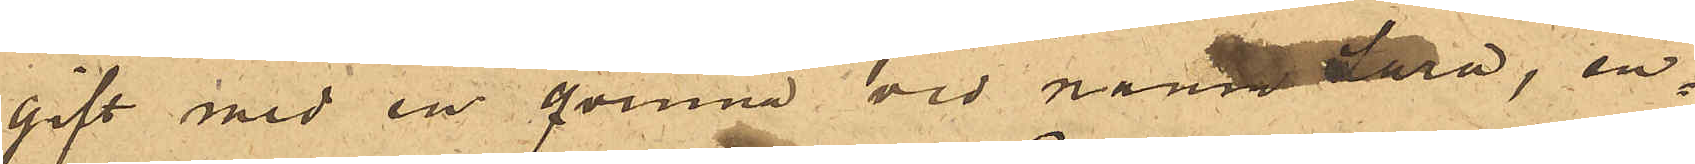gift med en qvinna vid namn Sara, en¬
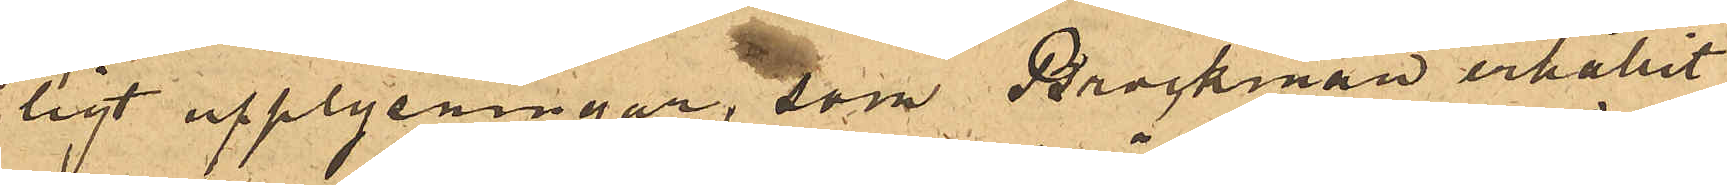ligt upplysningar, som Brockman erhållit,
